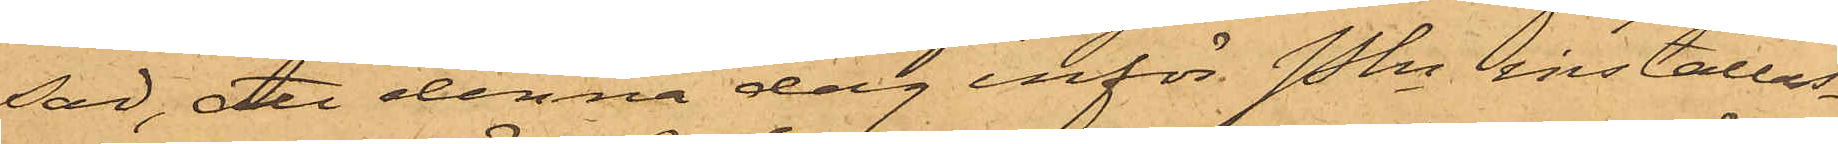sad, att denna dag inför Pkn inställas.
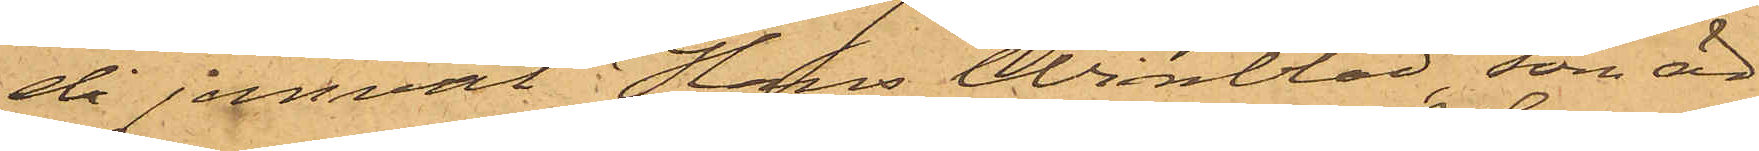då jemväl Hans Winblad, som är
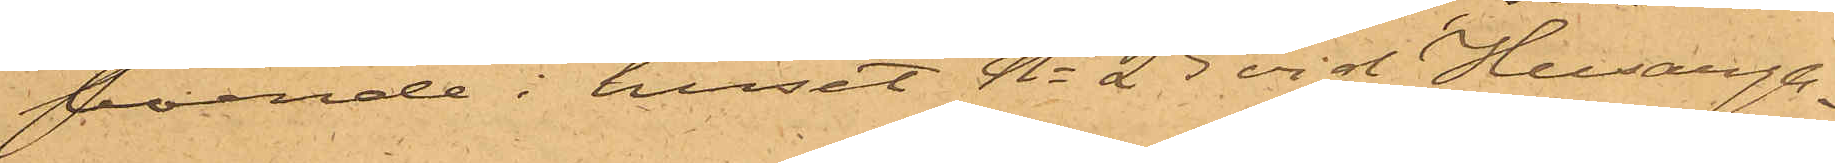boende i huset No 25 vid Husarga¬
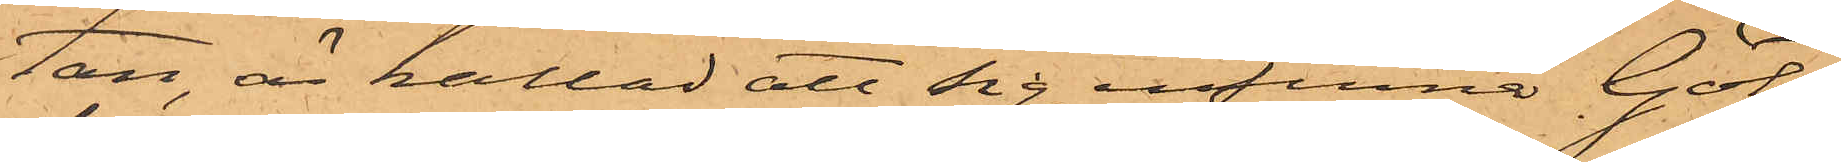tan, är kallad att sig infinna. Göte¬
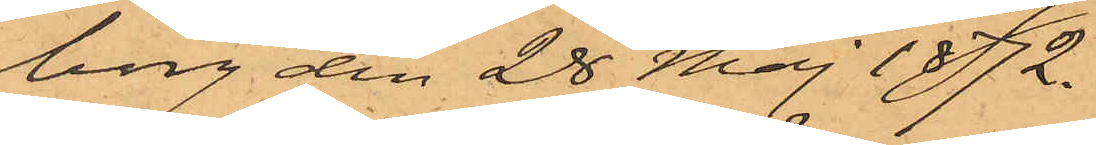borg den 28 Maj 1872.
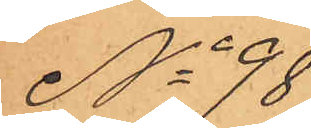No 98
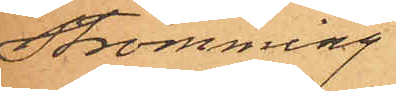Strömming
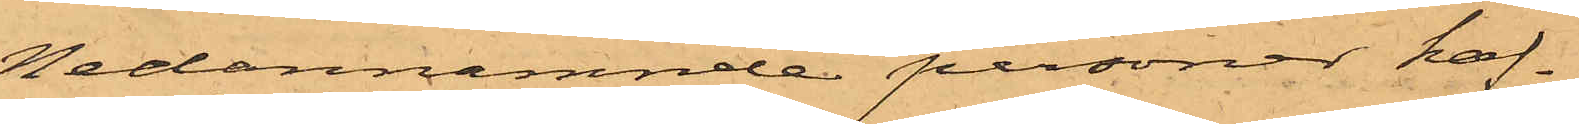Nedannämnde personer haf¬
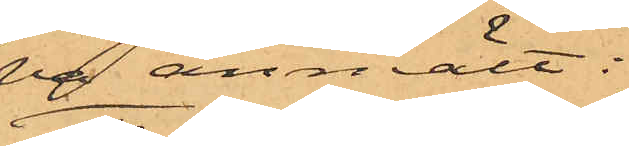va anmält:
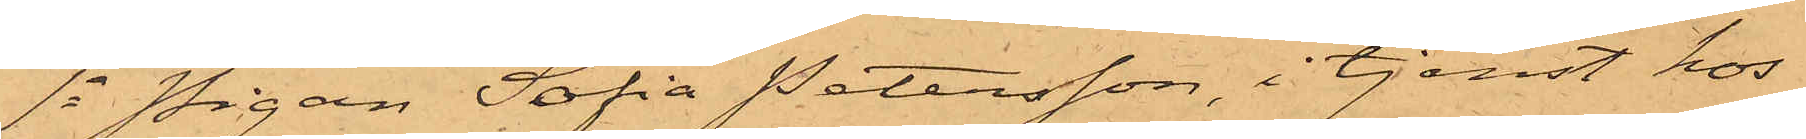1o Pigan Sofia Petersson, i tjenst hos
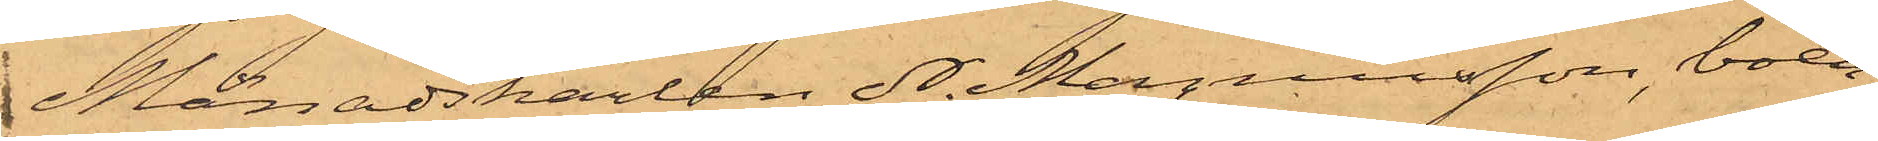Månadskarlen N. Magnusson, boen¬
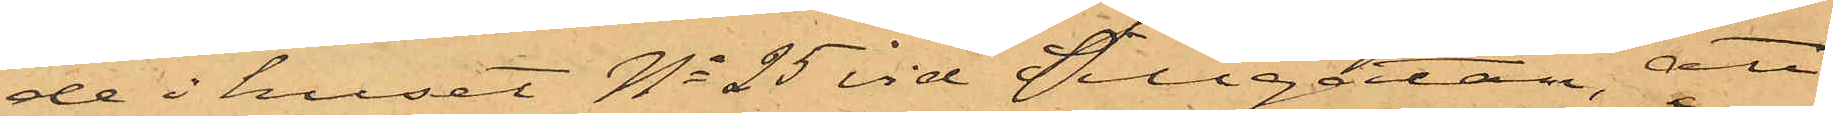de i huset No 25 vid Sillgatan, att
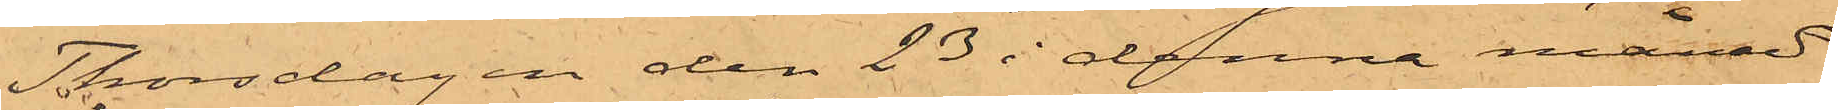Thorsdagen den 23 i denna månad
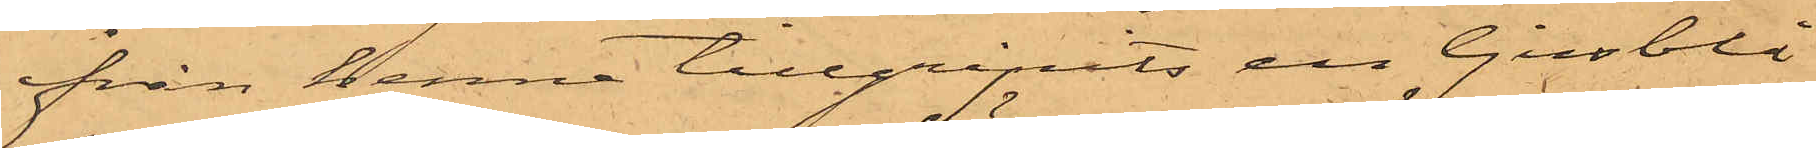från henne tillgripits en ljusblå
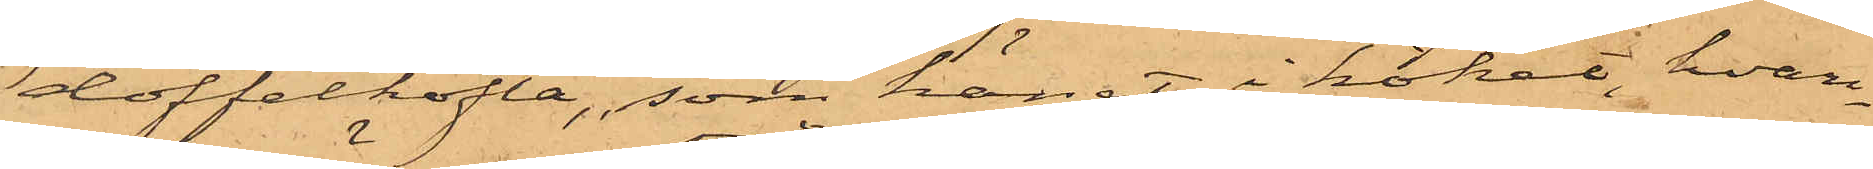doffelkofta, som hängt i köket, hvar¬
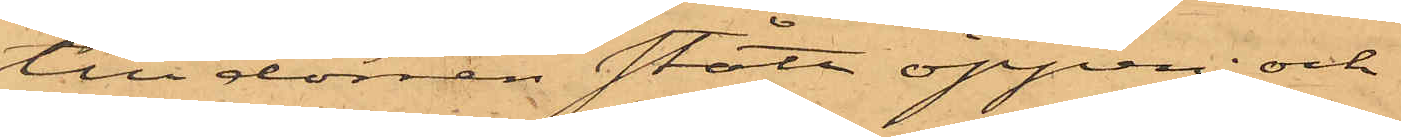till dörren stått öppen; och
